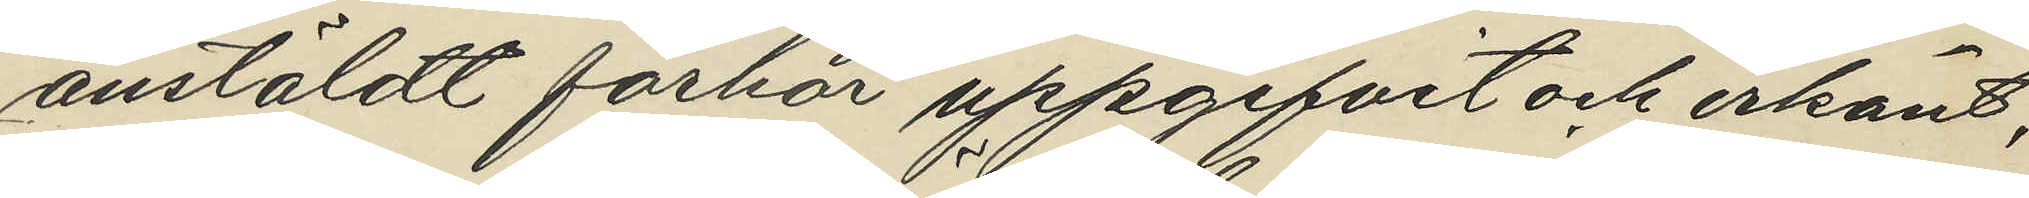anstäldt förhör uppgifvit och erkänt,
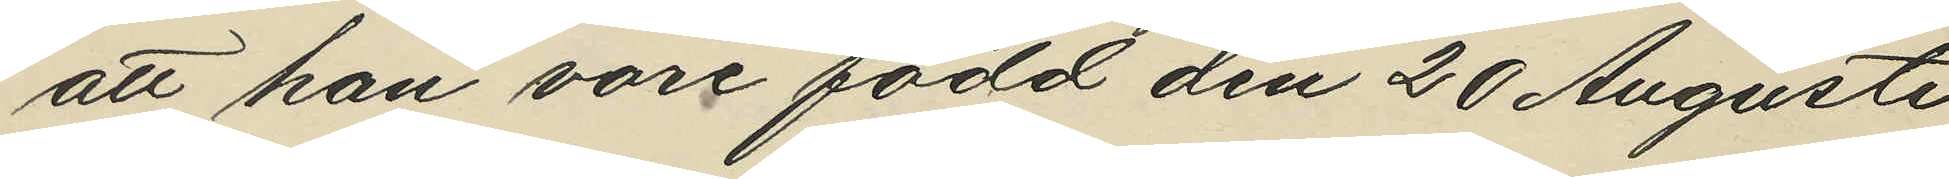att han vore född den 20 Augusti
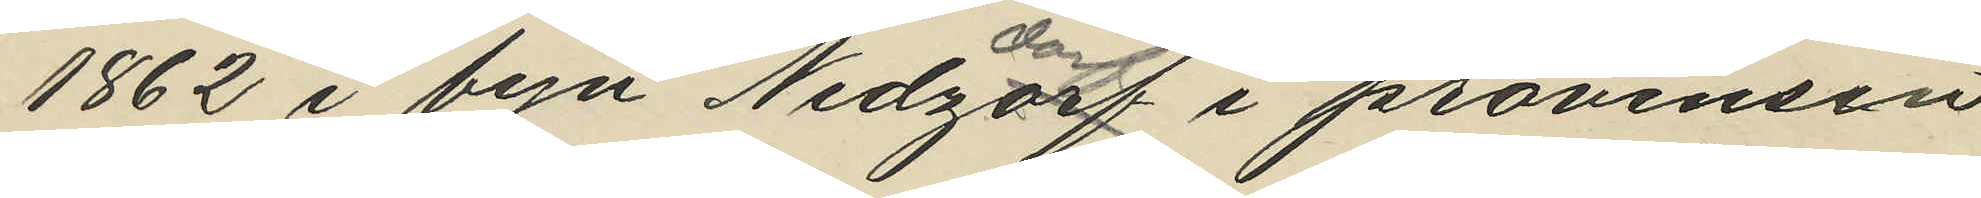1862 i byn Nedzdorf i provinsen
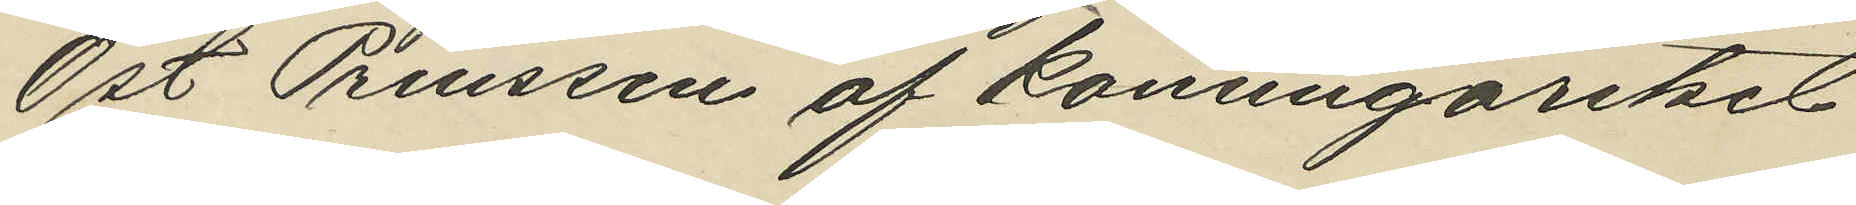Ost Preussen af Konungariket
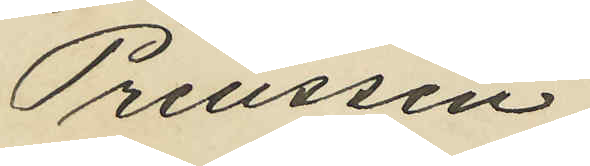Preussen;
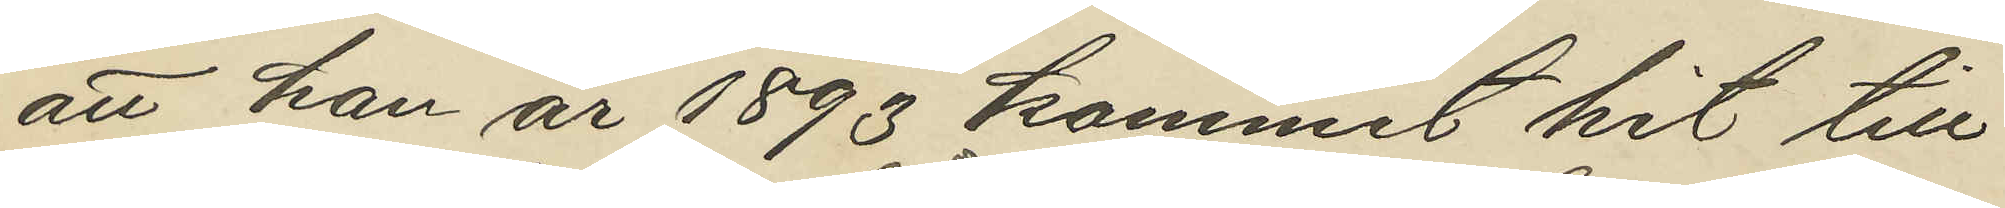att han år 1893 kommit hit till
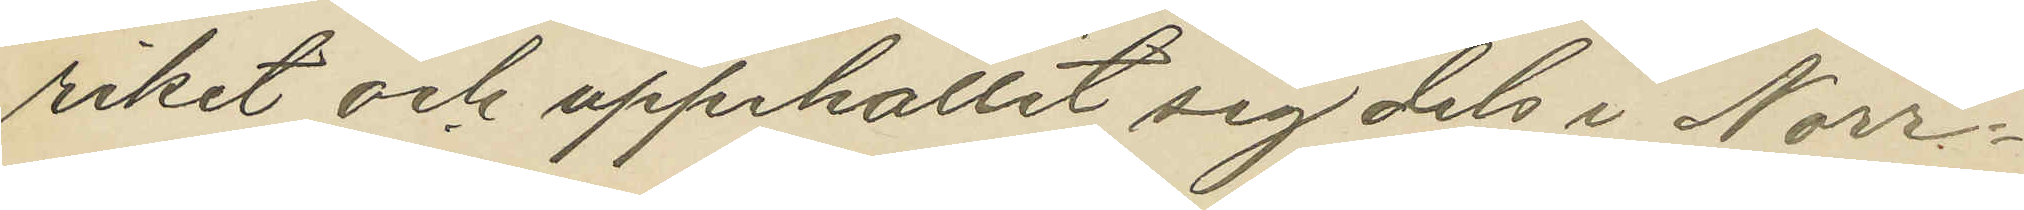riket och uppehållit sig dels i Norr¬
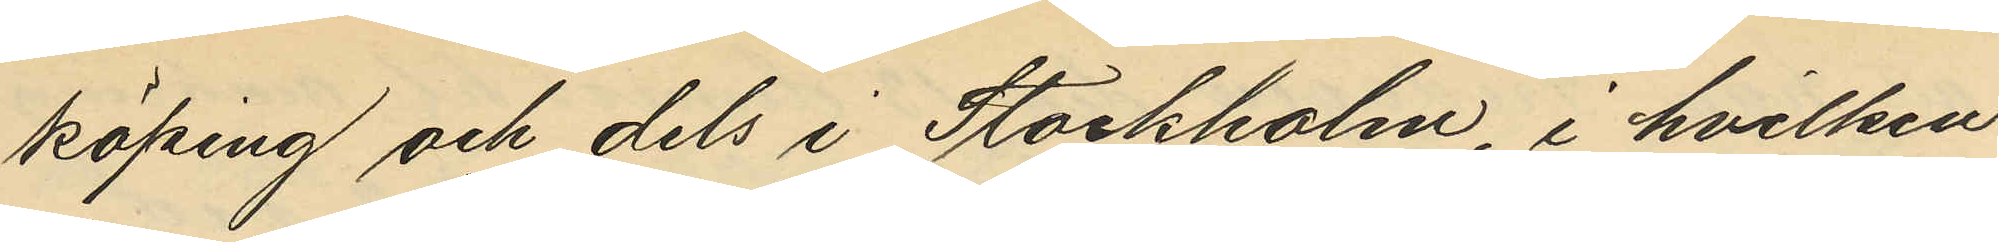köping och dels i Stockholm i hvilken
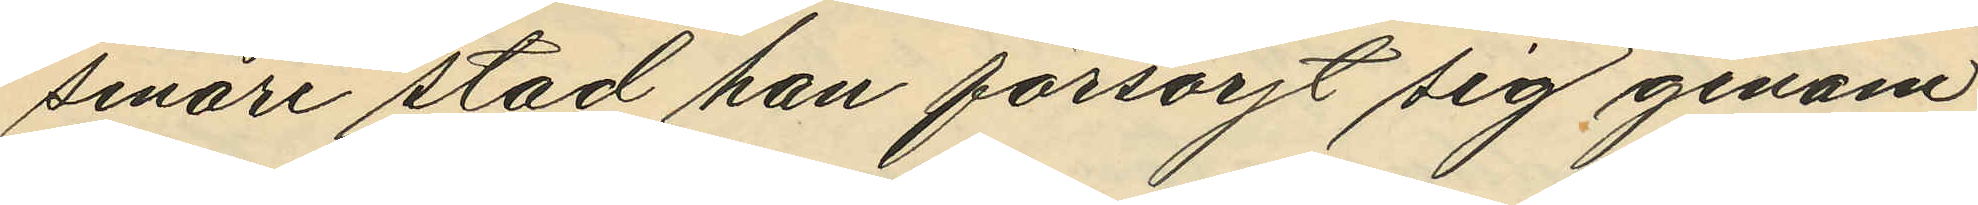senare stad han försörjt sig genom
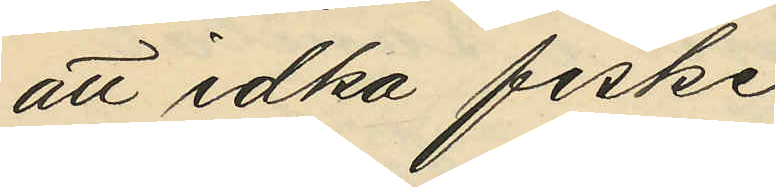att idka fiske
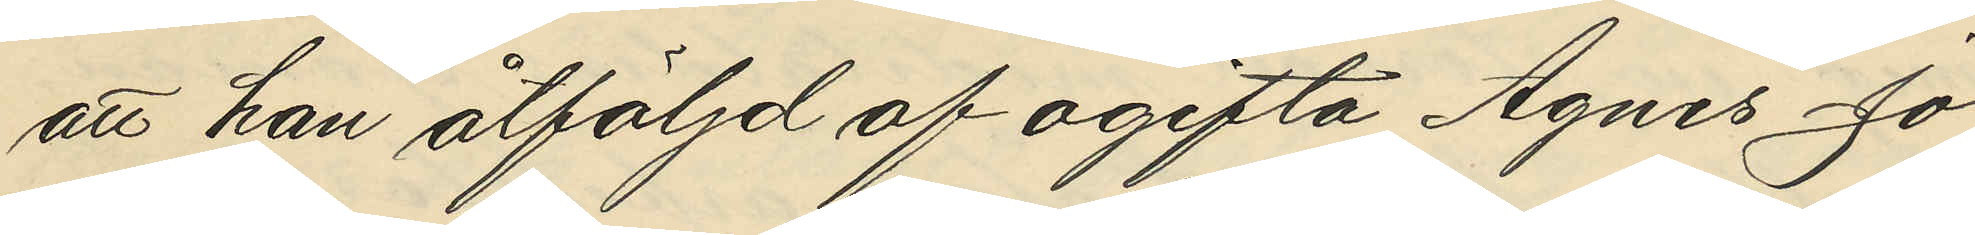att han åtföljd af ogifta Agnes Jo¬
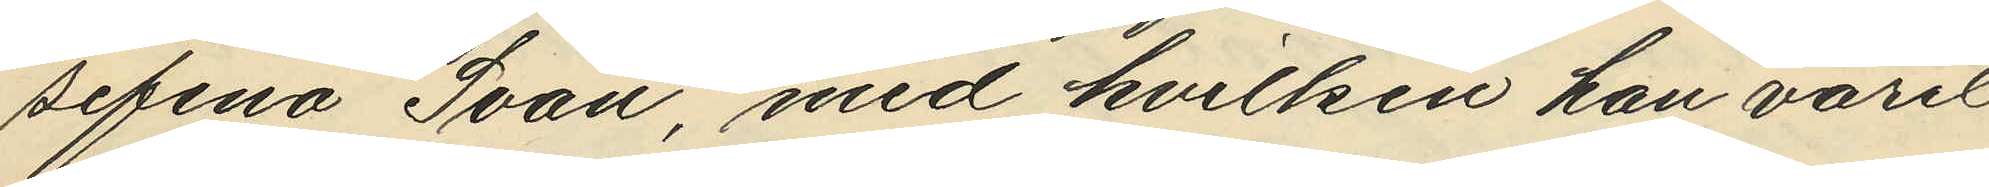sefina Svan, med hvilken han varit
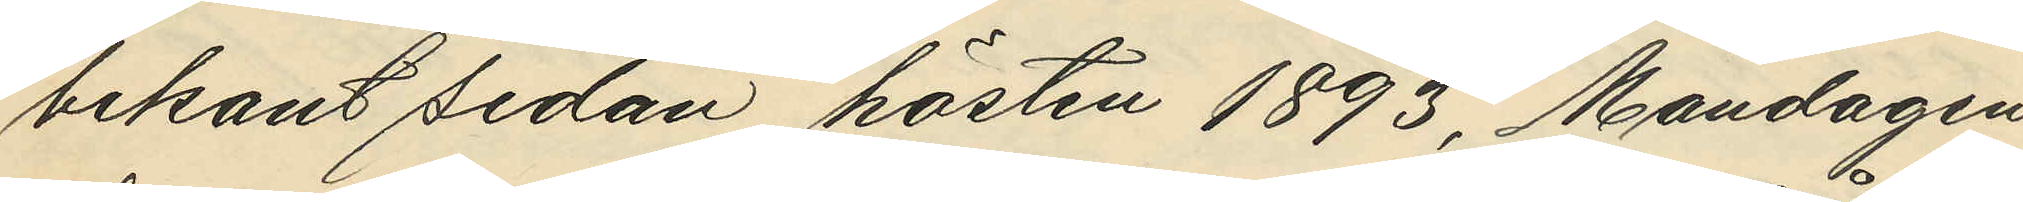bekant sedan hösten 1893, Måndagen
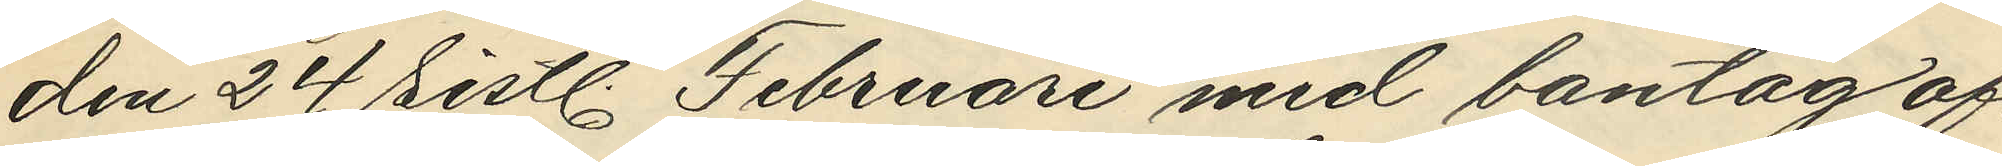den 24 sistl. Februari med bantåg af¬
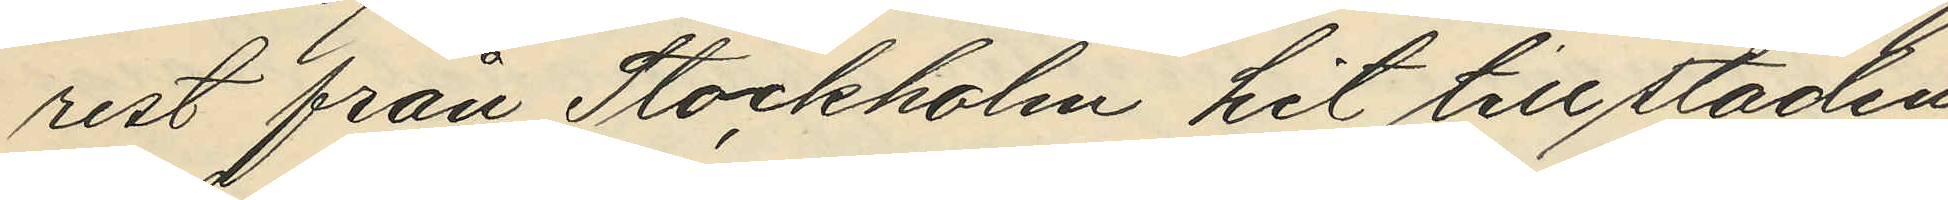rest från Stockholm hit till staden
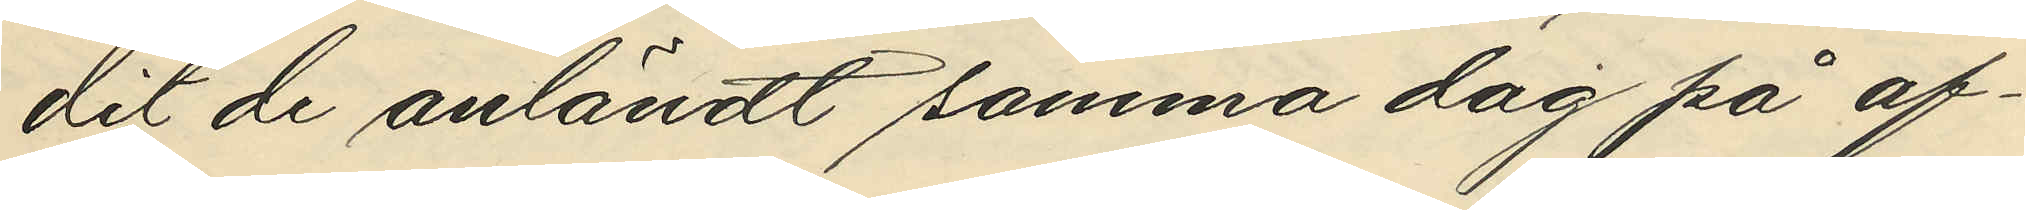dit de anländt samma dag på af¬
